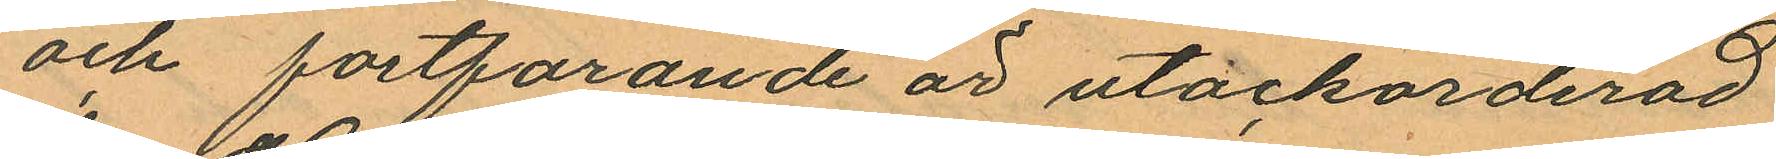och fortfarande är utackorderad
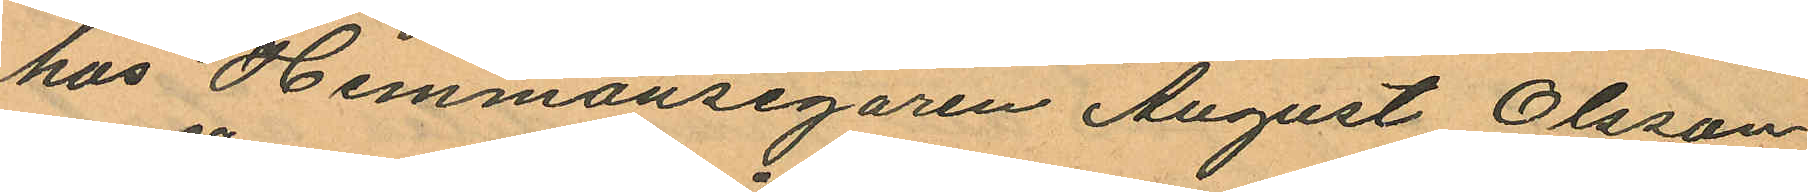hos Hemmansegaren August Olsson
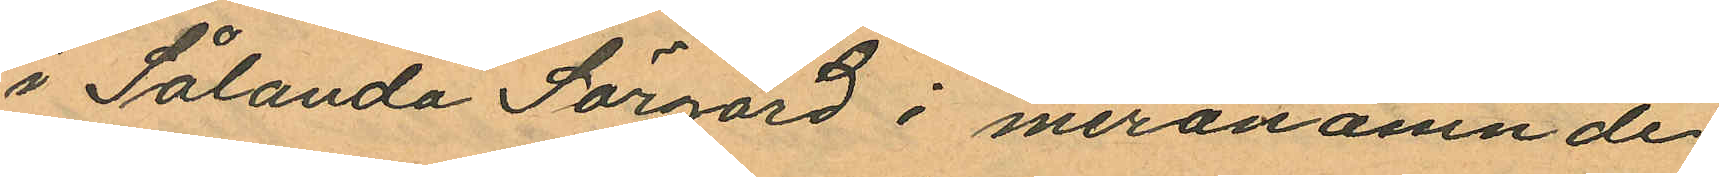i Sålanda Sörgård i meranämnde
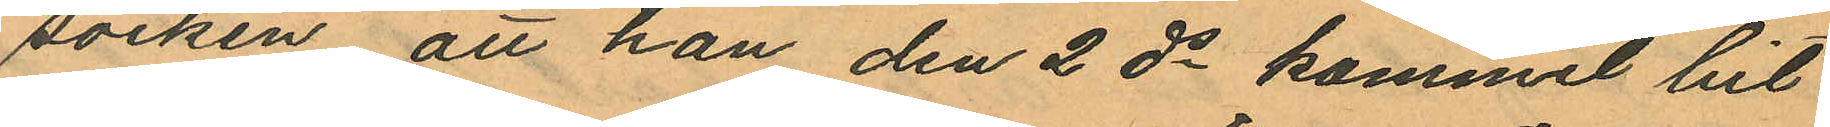socken, att han den 2 ds kommit hit
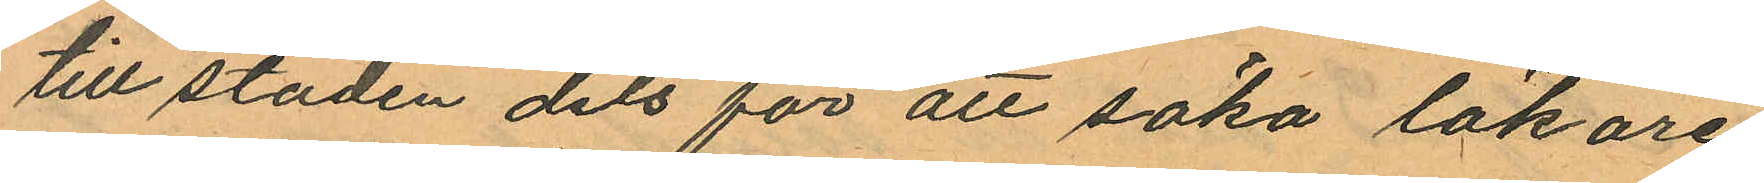till staden dels för att söka läkare
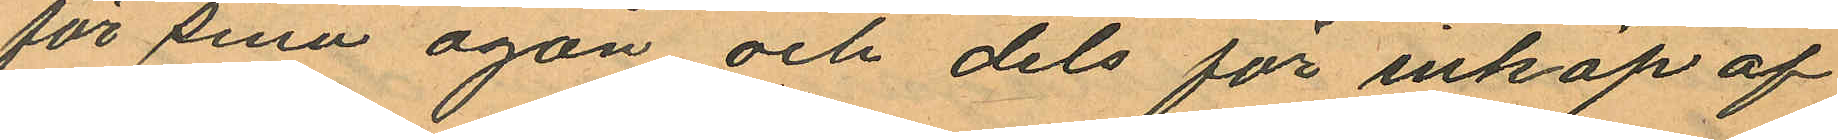för sina ögon och dels för inköp af
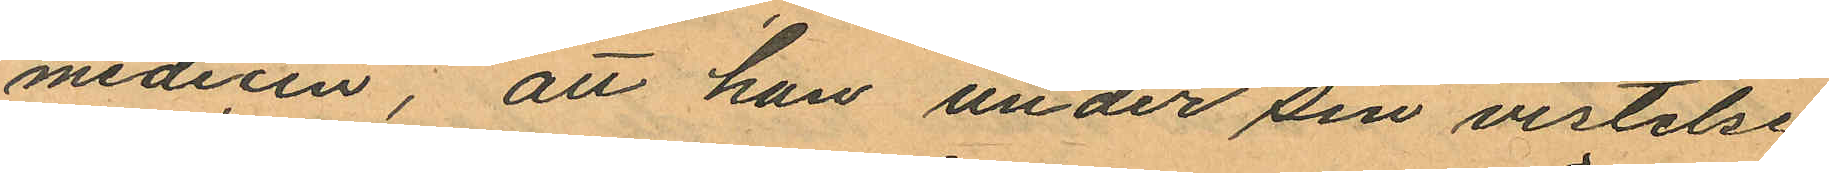medicin, att han under sin vistelse
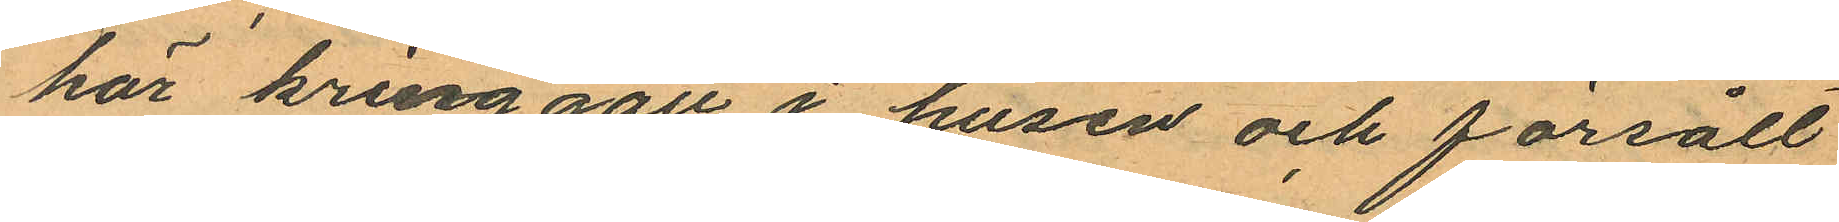här kring gått i husen och försålt
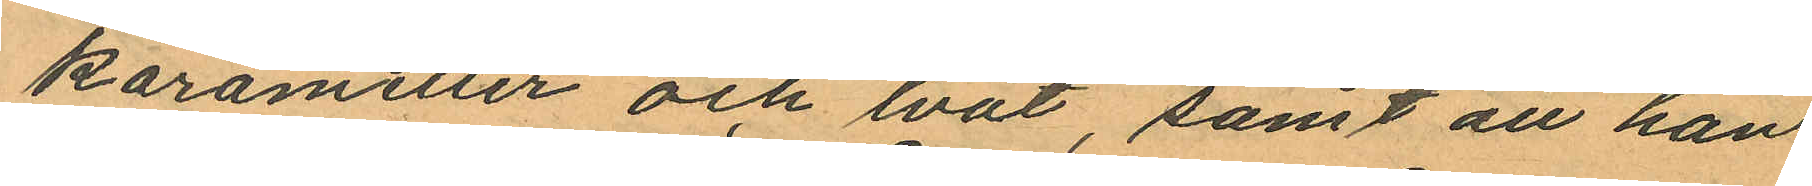karameller och lvåt, samt att han
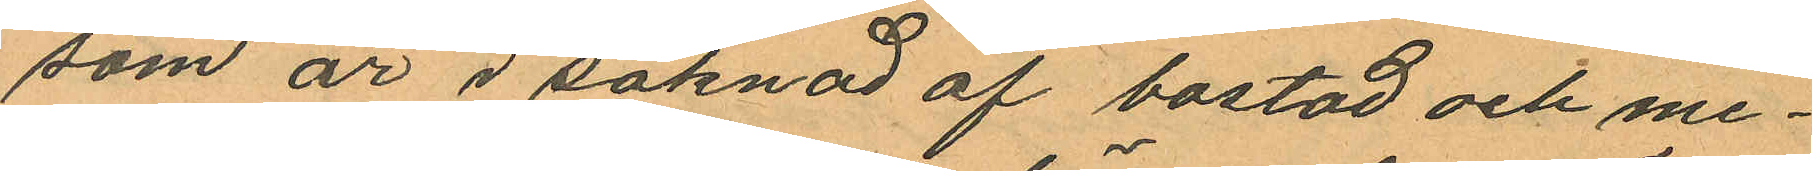som är i saknad af bostad och me¬
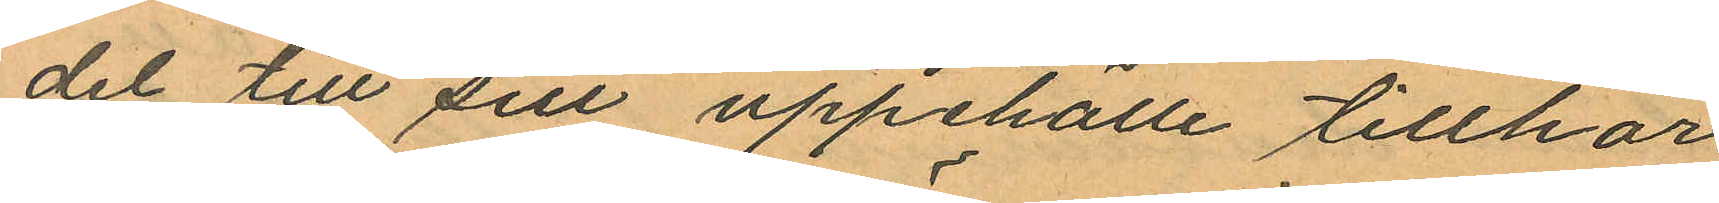del till sitt uppehälle tillhör
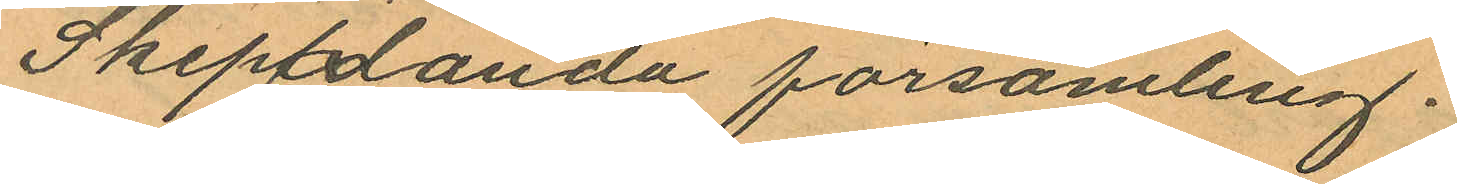Skepplanda församling.
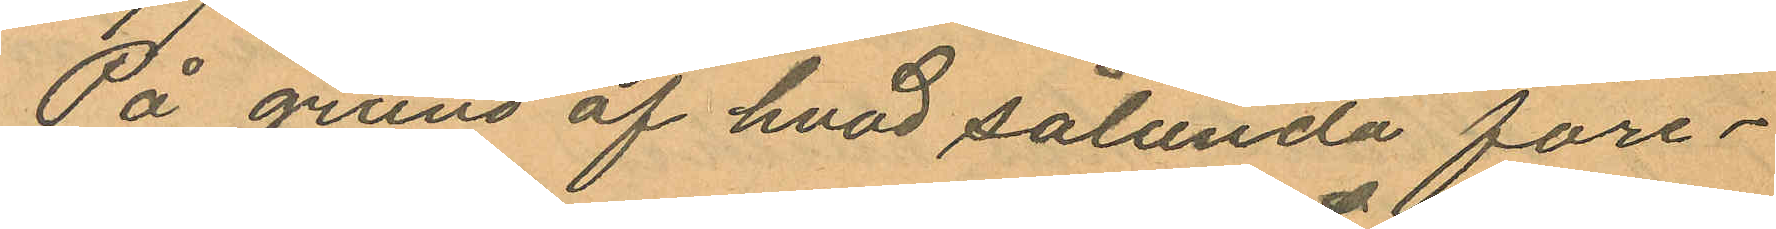På grund af hvad sålunda före¬
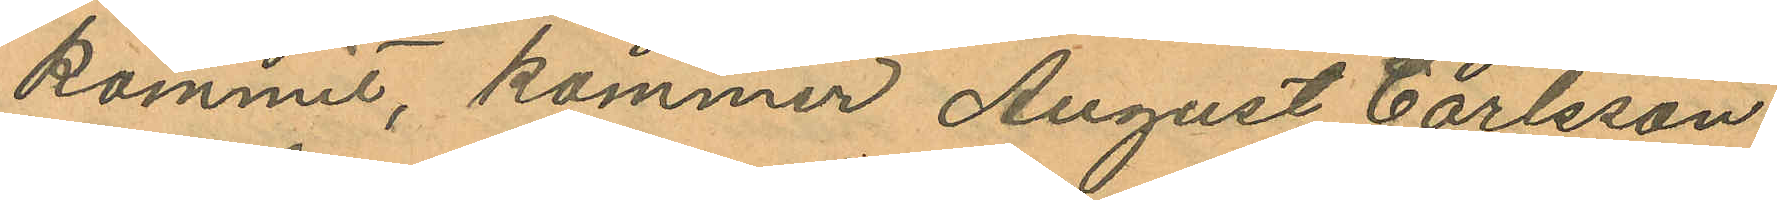kommit, kommer August Carlsson
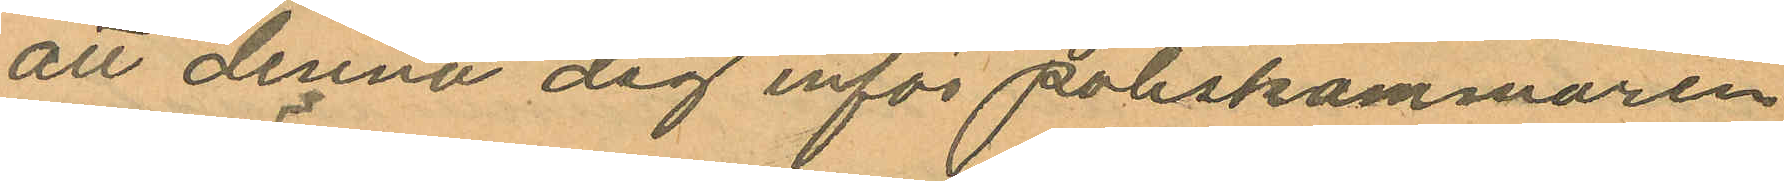att denna dag inför poliskammaren
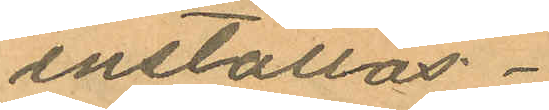inställas.
